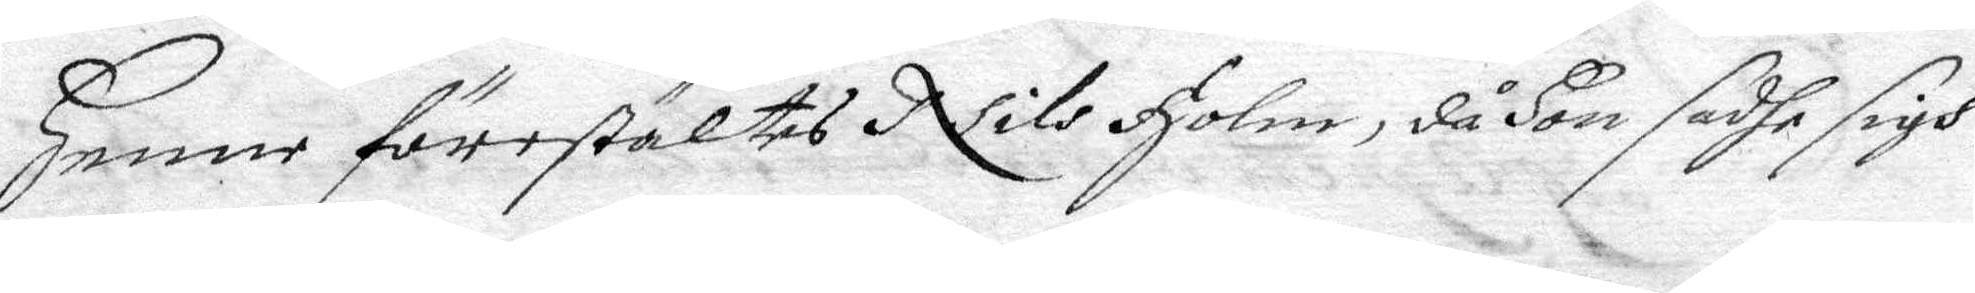henne förestältes Nils Holm, då hon sadhe sigh
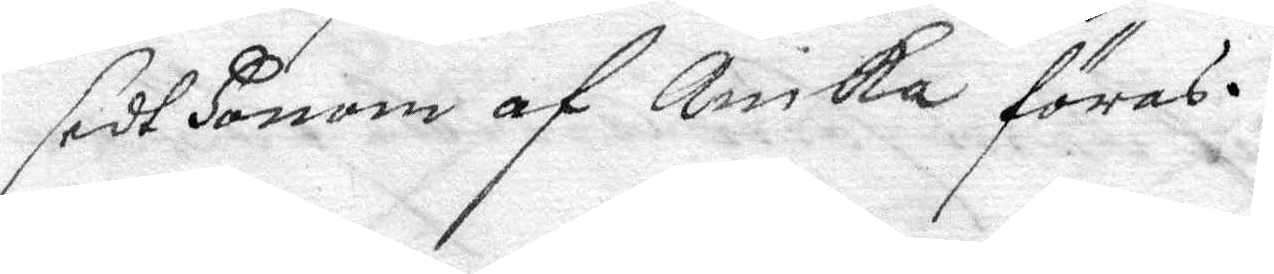sedt honom af Anika föras.
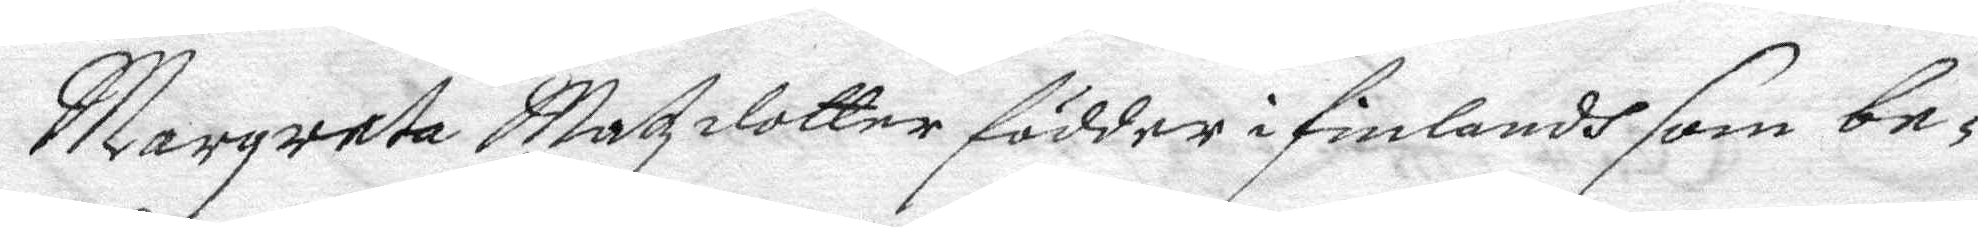Margareta Matzdotter födder i finlandh som be¬
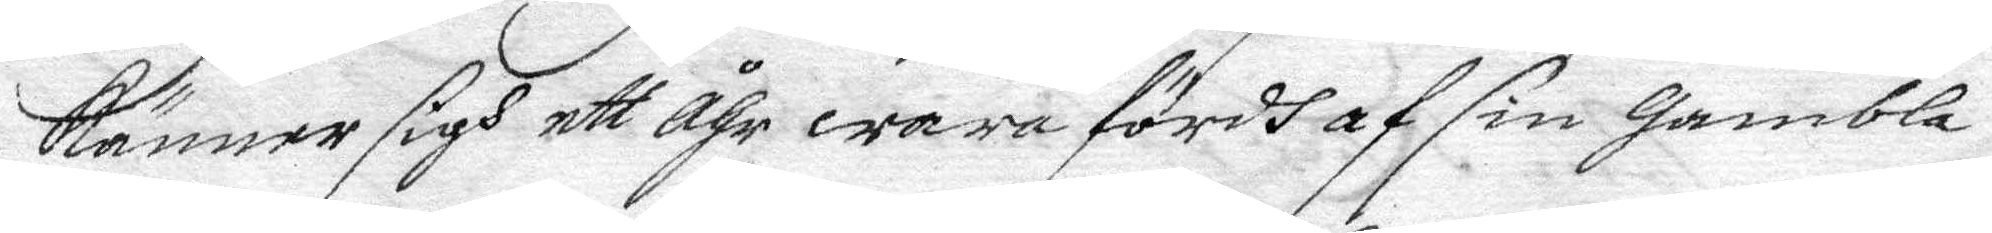känner sigh ett Åhr wara fördh af sin gambla
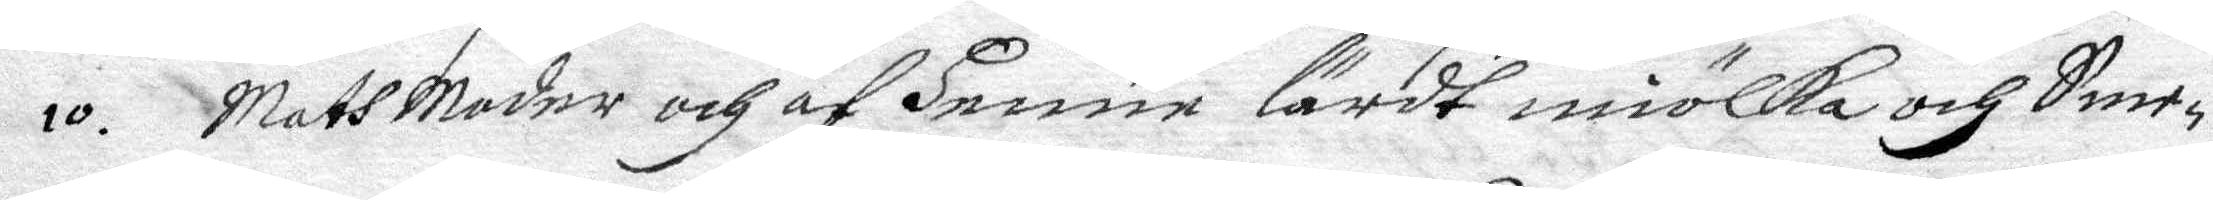MathMode och af henne lärdt miölka och Sme¬
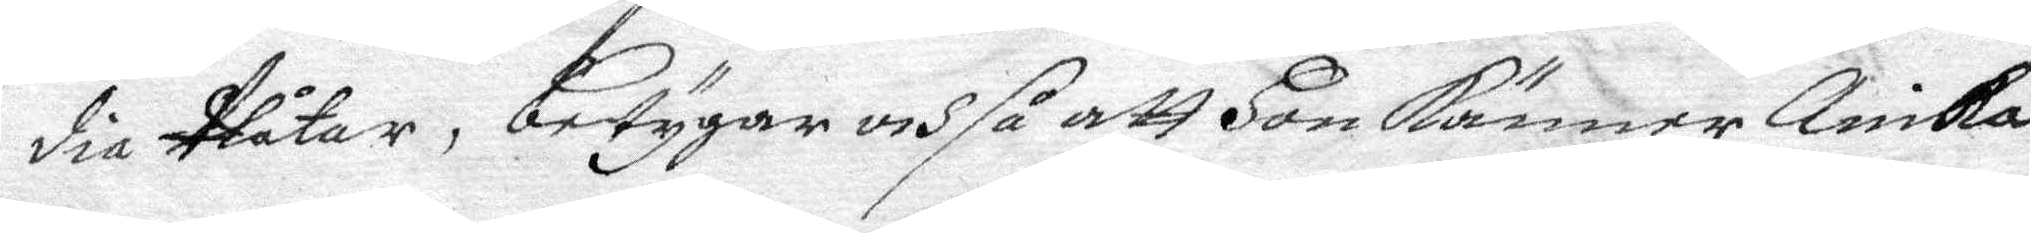dia Plåtar, betygar och så att hon känner Anika
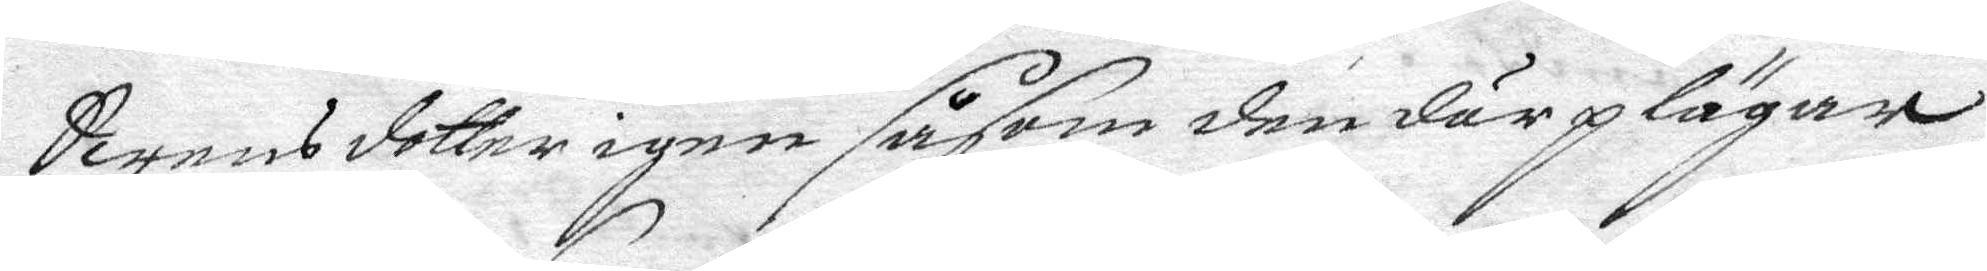Swensdotter igen såsom den där plägar
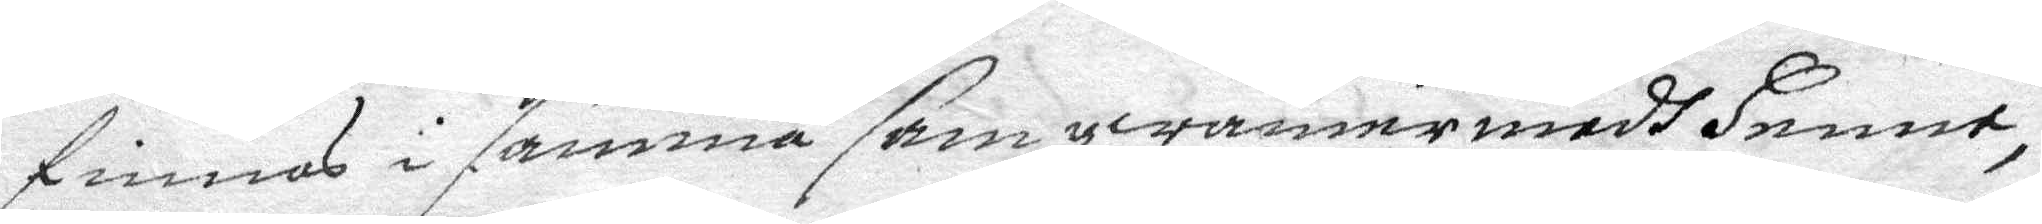finnas i samma samqwämer medh henne,
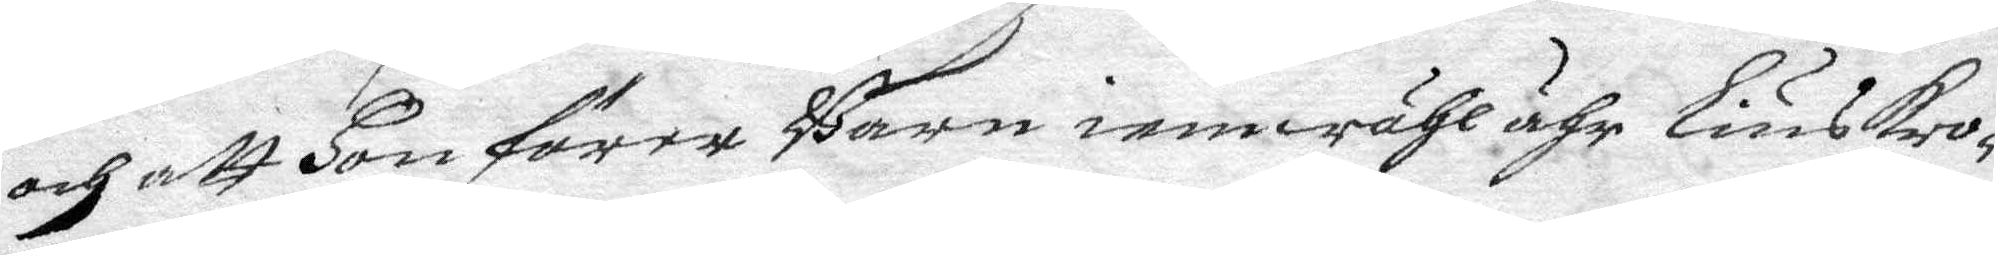och att hon förer Barn iemwähl ähr liuskro¬
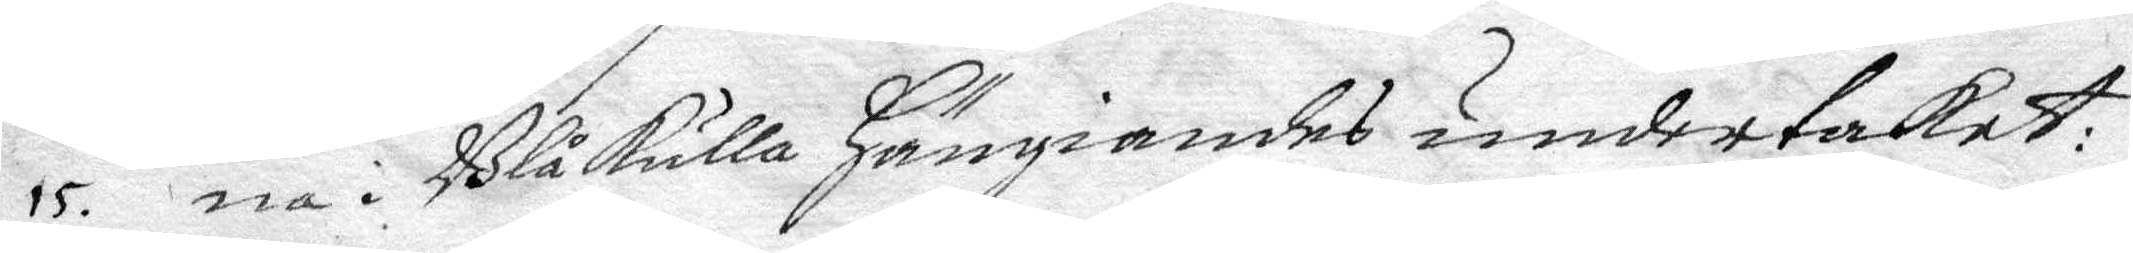15. na i Blåkulla hängiandes under taket:
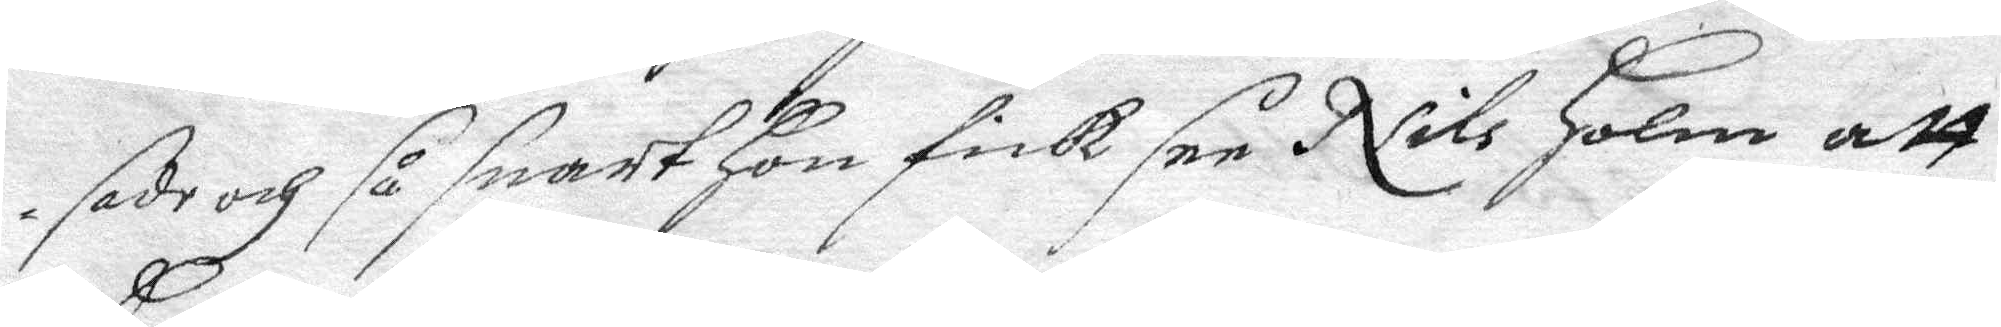sade och så snart hon fick see Nils Holm att
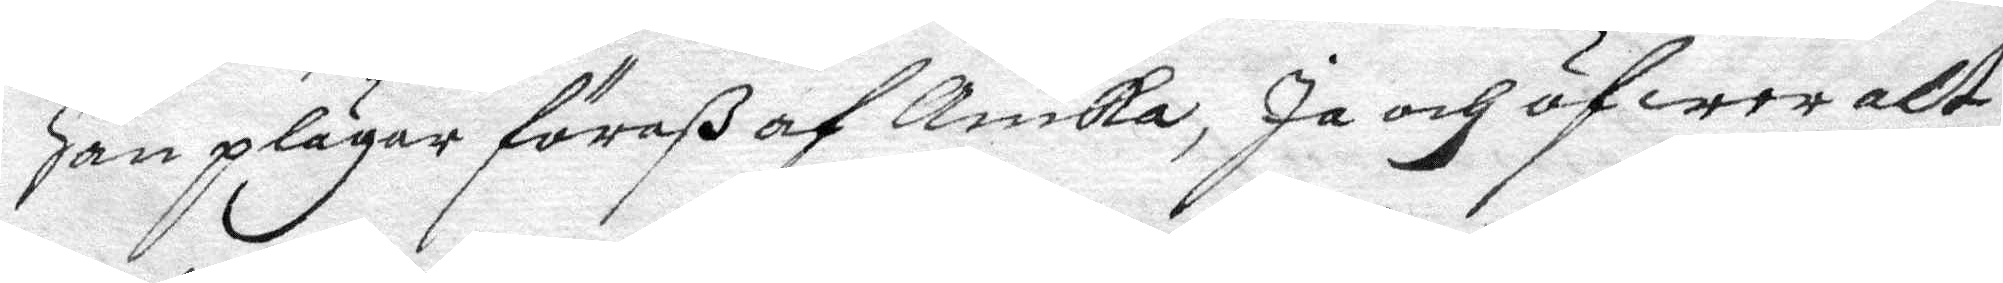han plägar föraß af Anika, Ja och öfwer alt
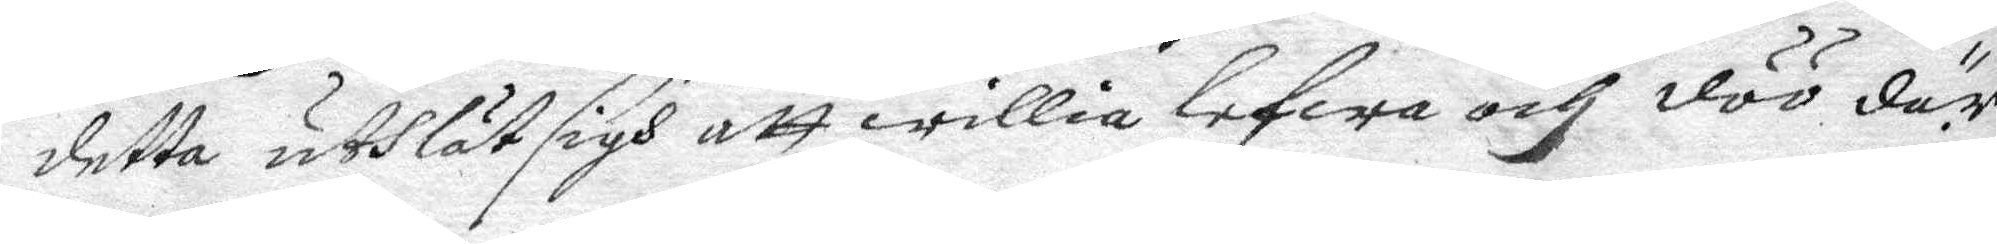detta uthlät sigh att willia lefwa och döö där
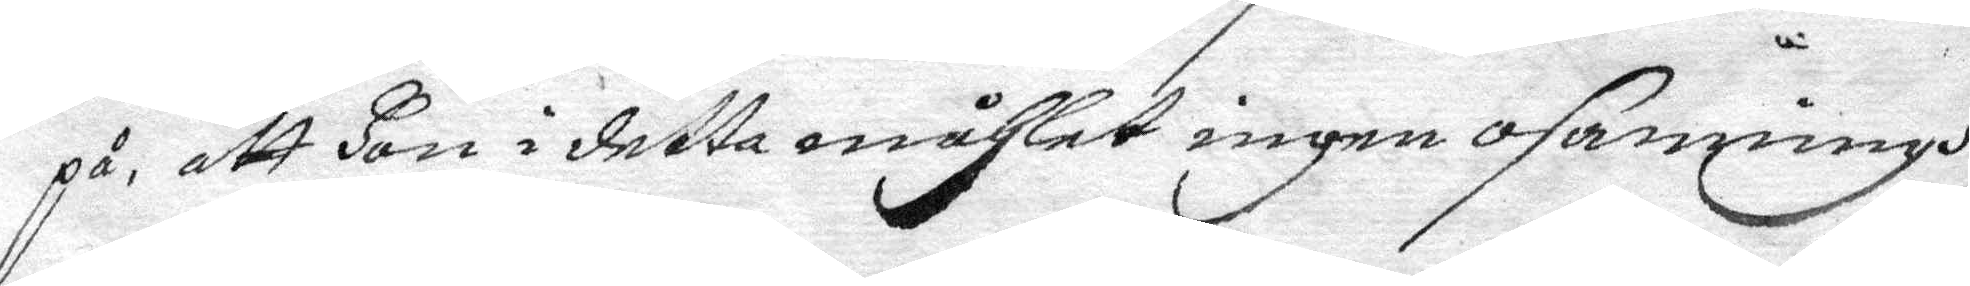på. att hon i detta måhlet ingen osanningh
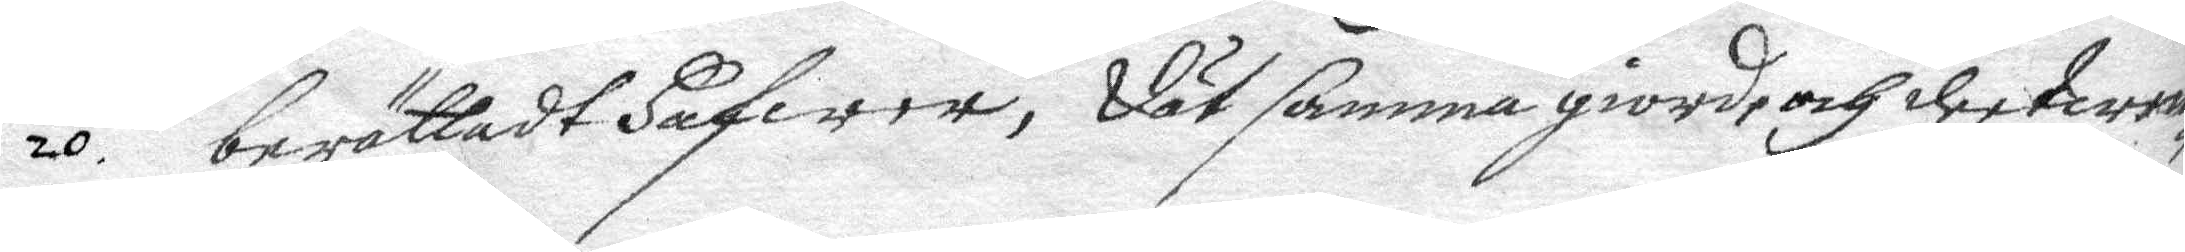20. berättadt hafwer, Dät samma giorde och dee twen¬
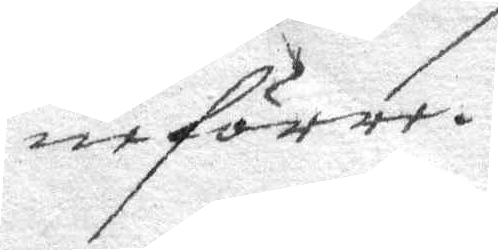ne förer.
